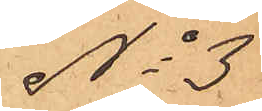No 3
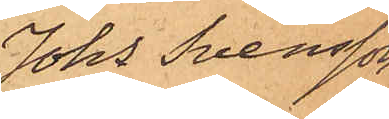Johs Svensson.
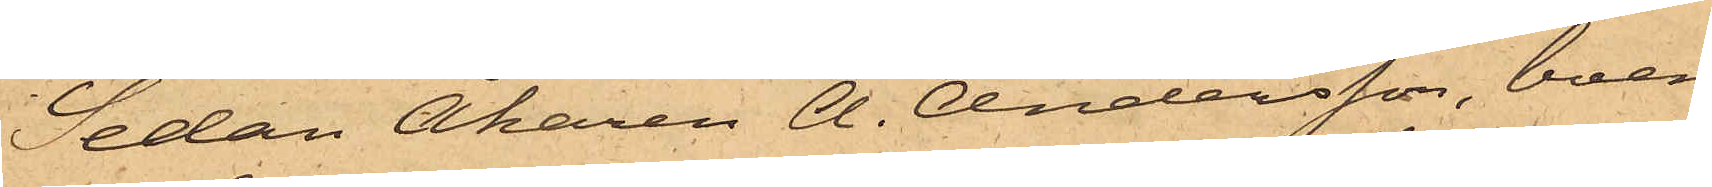Sedan Åkaren A. Andersson, boen¬
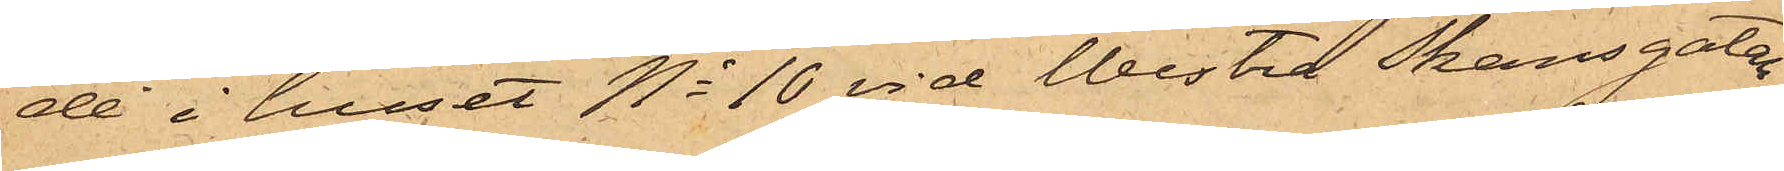de i huset No 10 vid Westra Skansgatan,
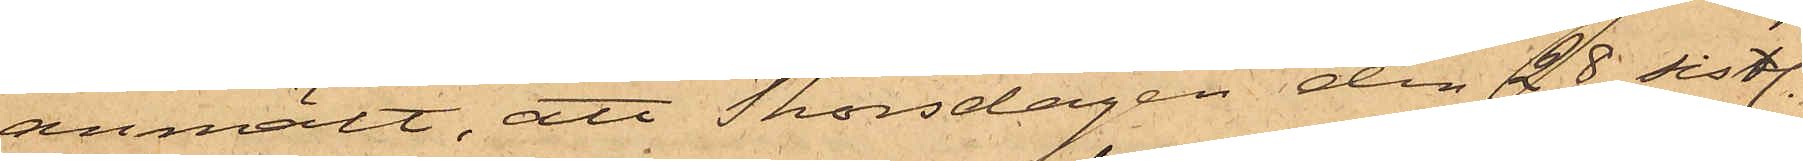anmält, att Thorsdagen den 28 sistl.
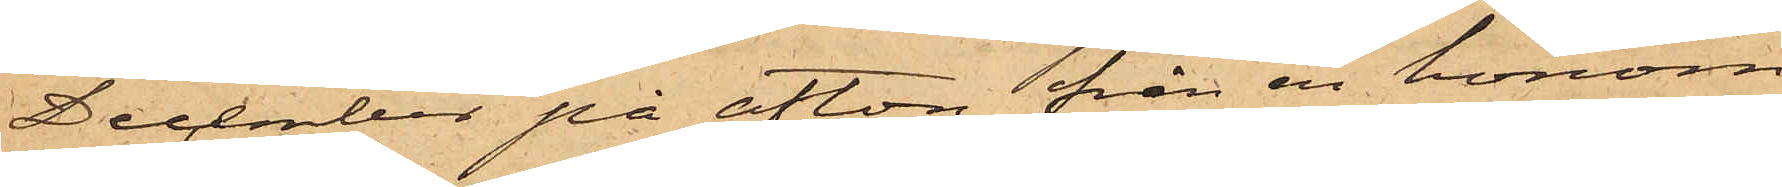December på afton från en honom
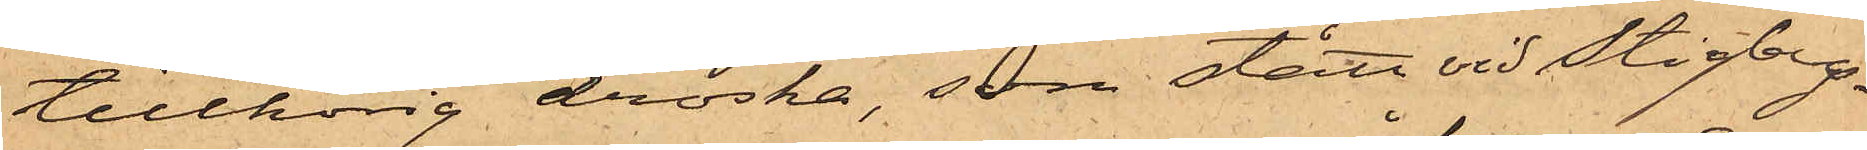tillhörig droska, som stått vid Stigbergs¬
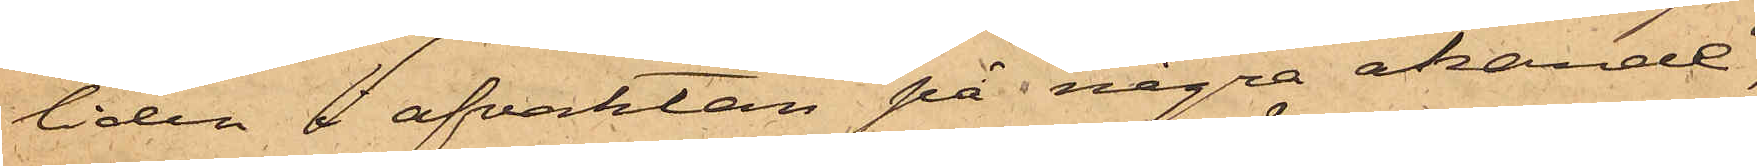liden i afvaktan på några åkande,
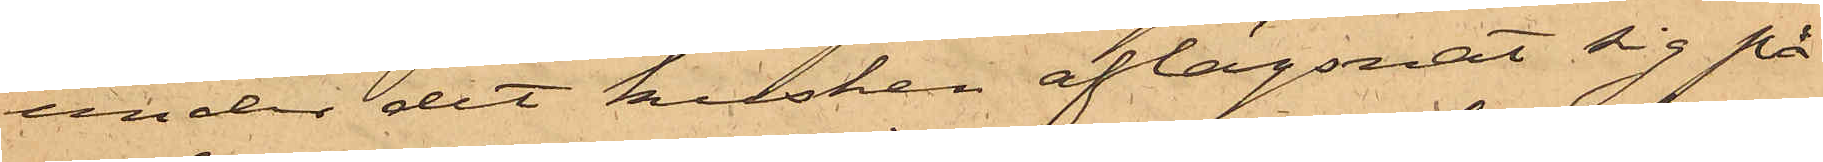under det kusken aflägsnat sig på
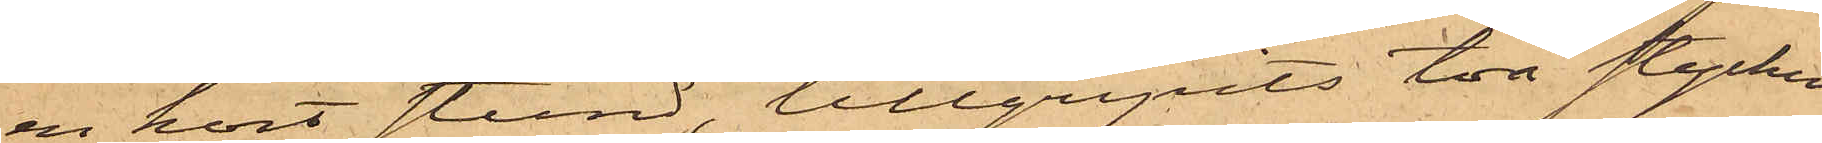en kort stund, tillgripits två stycken
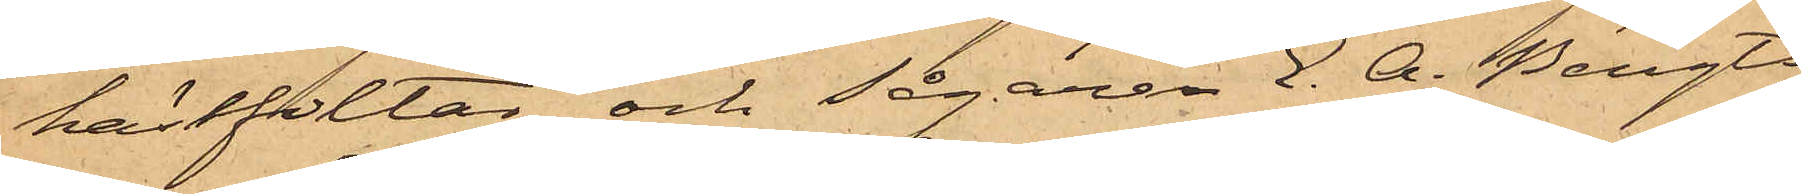hästfiltar, och Sågaren E. A. Bengts¬
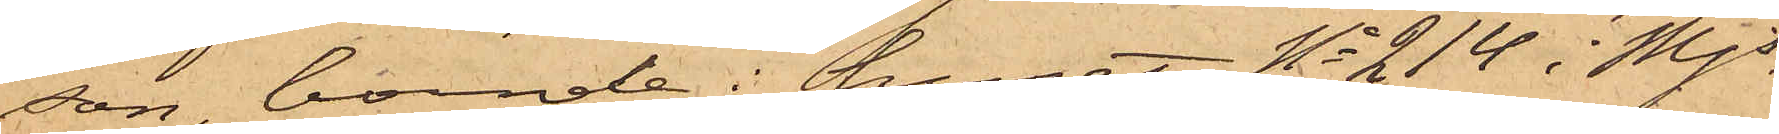son, boende i huset No 214 i Mjs
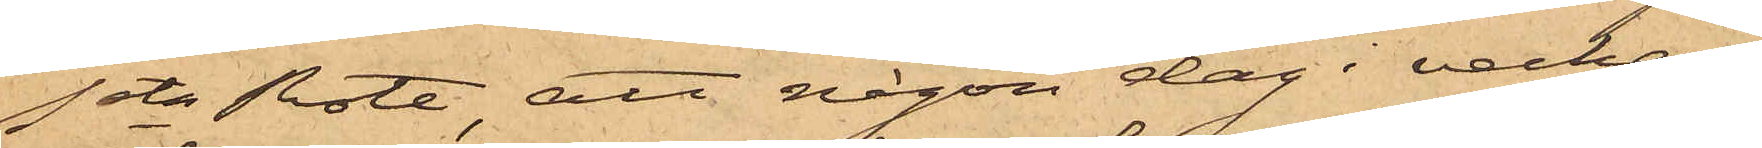1sta Rote, att någon dag i veckan
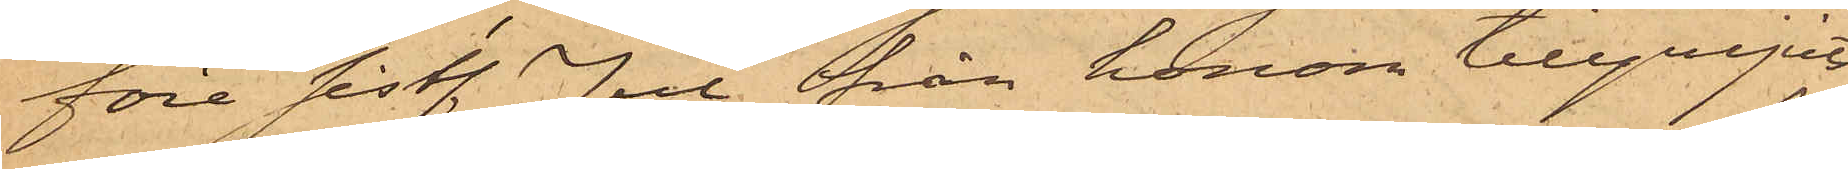före sist. Jul från honom tillgripits
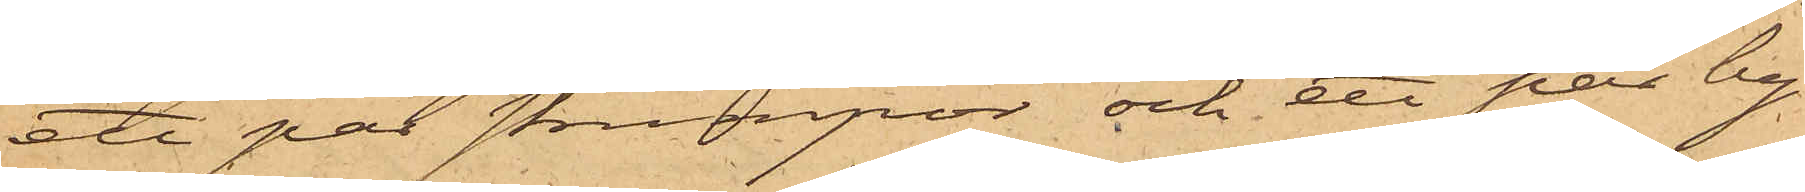ett par strumpor och ett par by¬
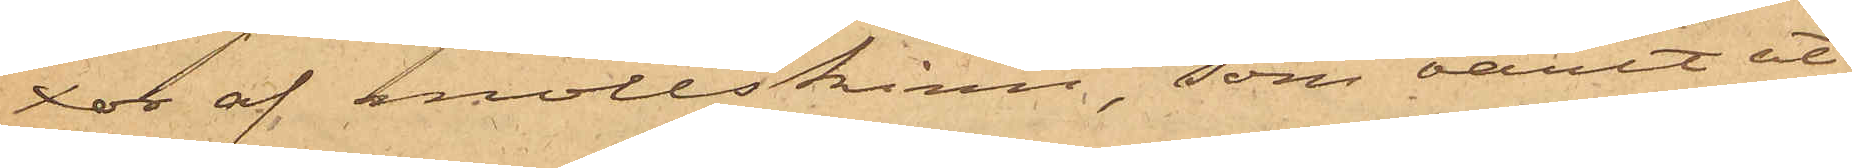xor af mollskinn, som varit ut¬
